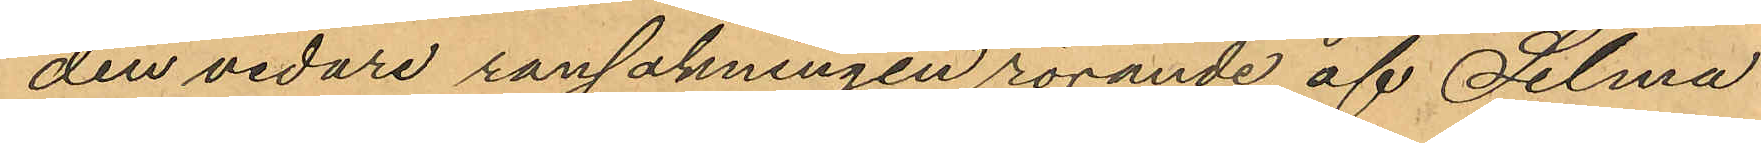den vidare ransakningen rörande af Selma
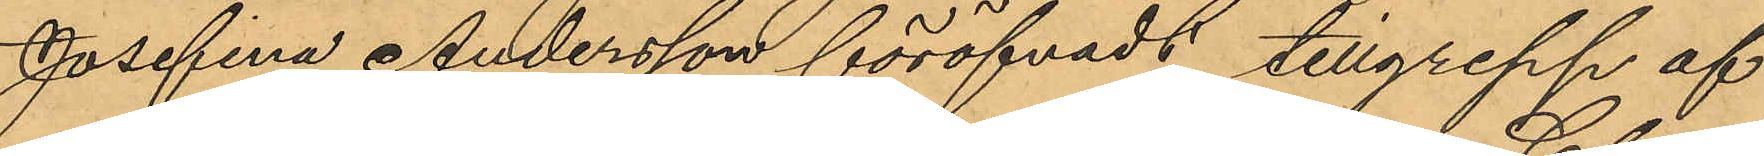Josefina Andersson föröfvadt tillgrepp af
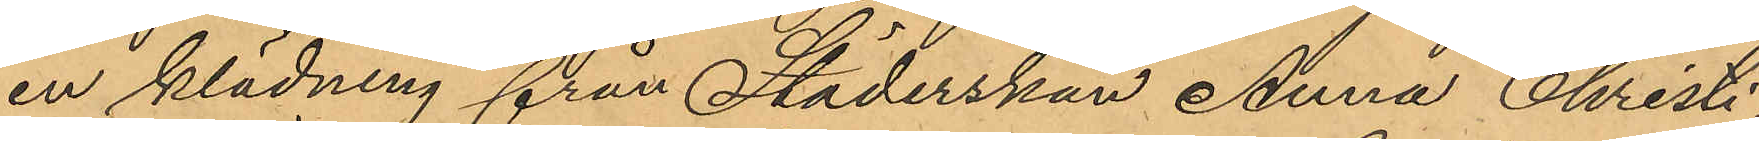en klädning från Städerskan Anna Christi¬
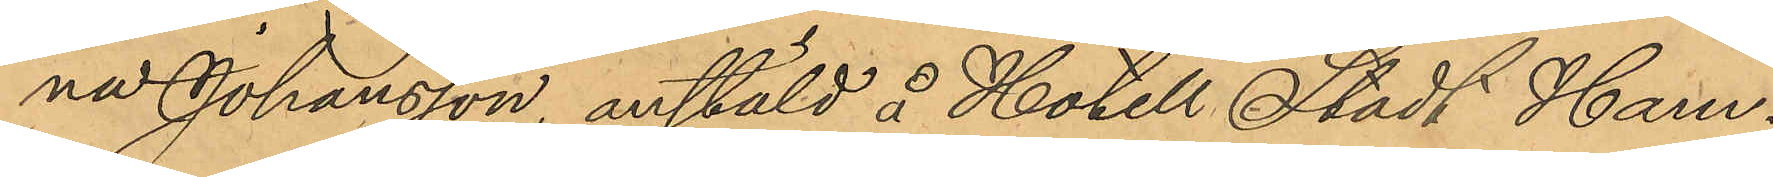na Johansson, anstäld å Hotell Stadt Ham¬
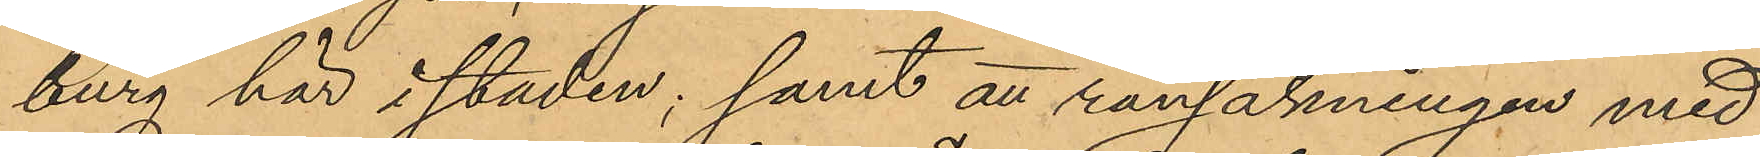burg här i staden; samt att ransakningen med
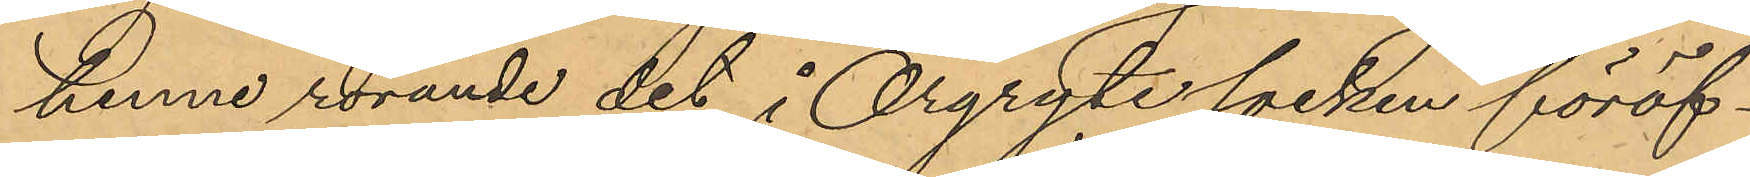henne rörande det i Örgryte socken föröf¬
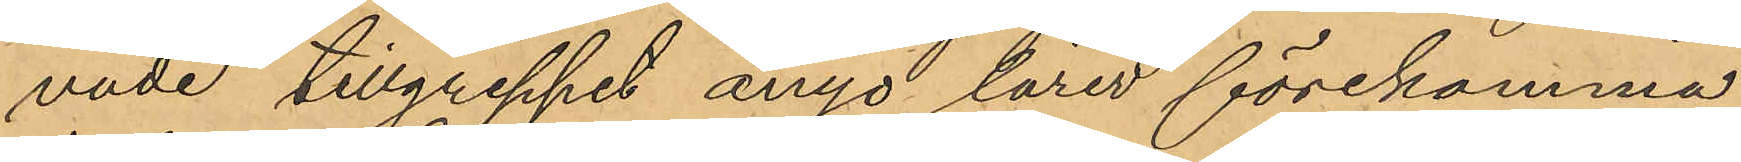vade tillgreppet ånyo lärer förekomma.
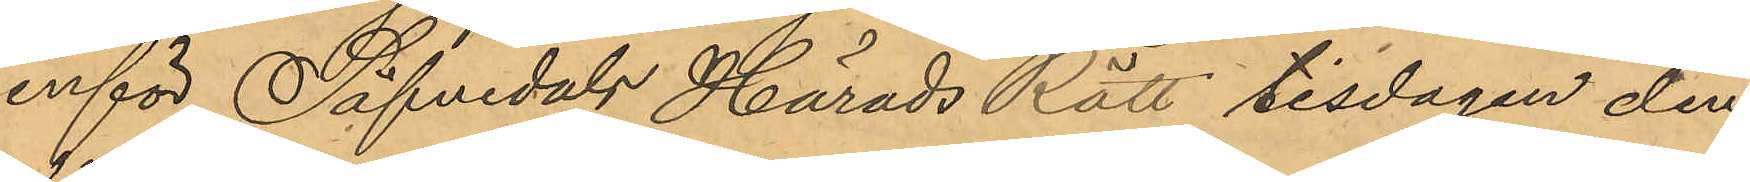inför Säfvedals Härads Rätt tisdagen den
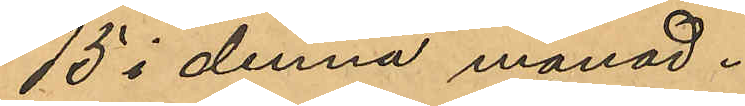15 i denna månad.
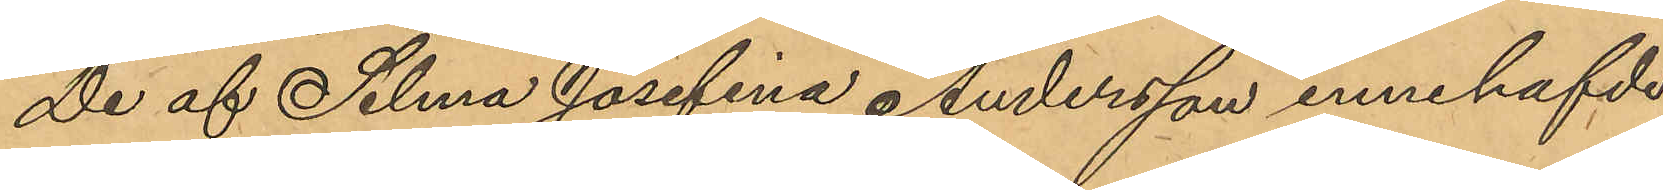De af Selma Josefina Andersson innehafde
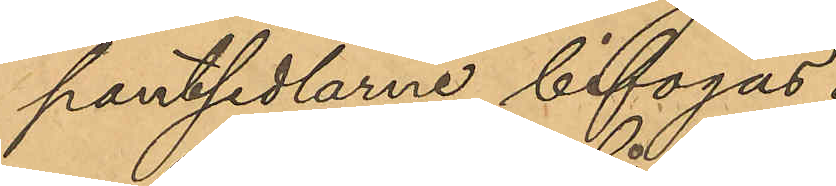pantsedlarne bifogas.
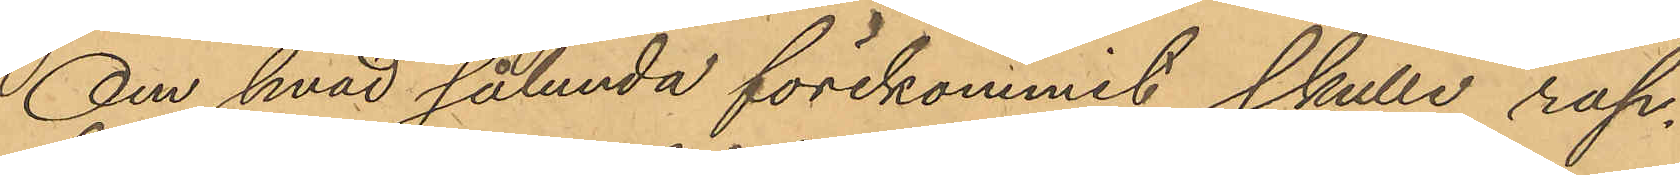Om hvad sålunda förekommit skulle rap¬
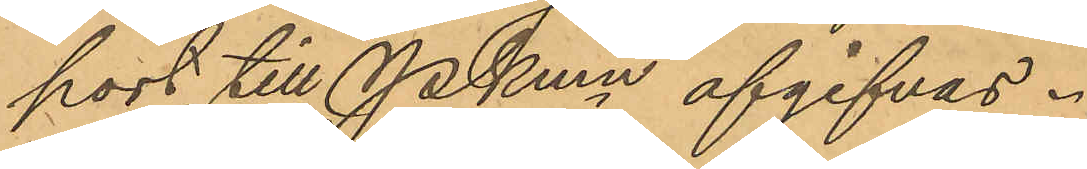port till Pkmn afgifvas.
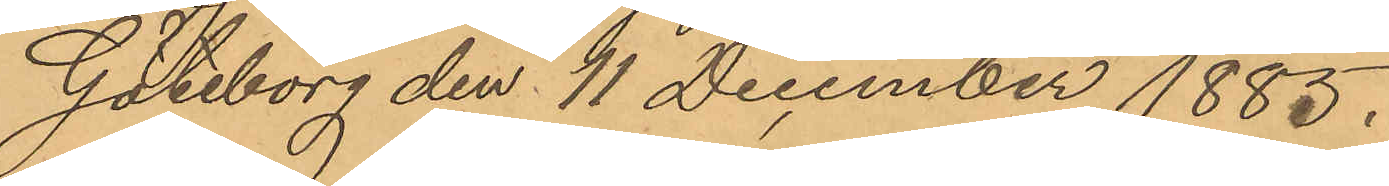Göteborg den 11 December 1885.
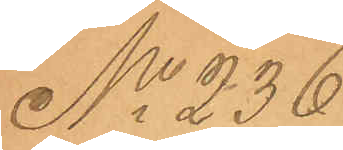No 236
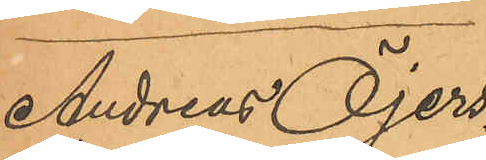Andreas Öjers¬
